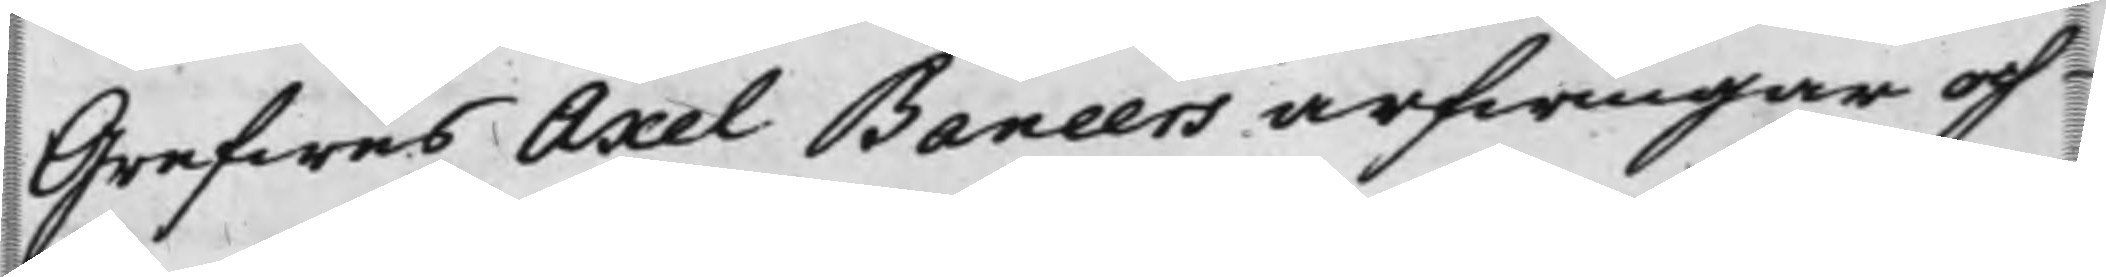Grefwens Axel Baneers arfwingar och
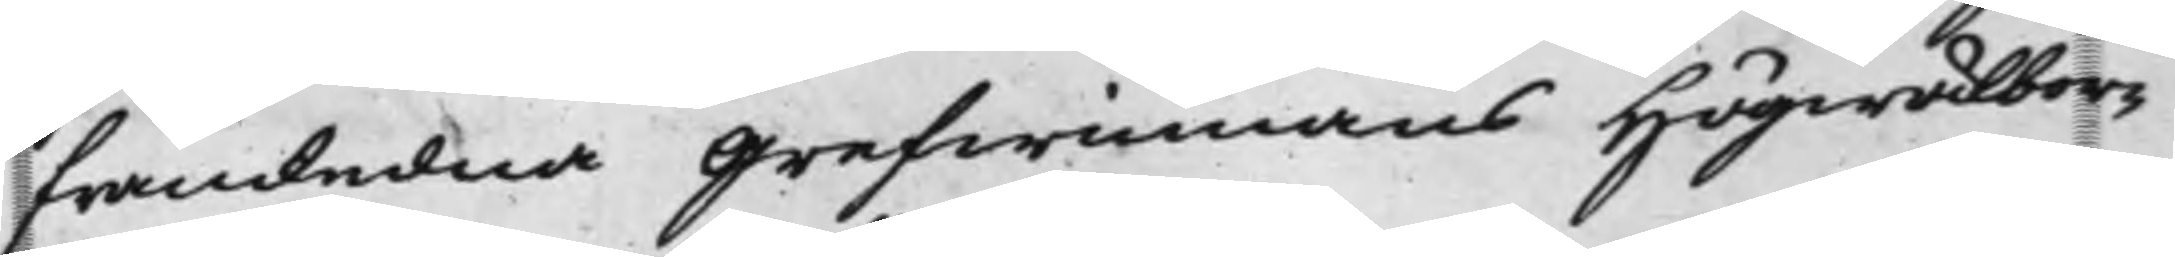framledna Grefwinnans Högwälbor¬
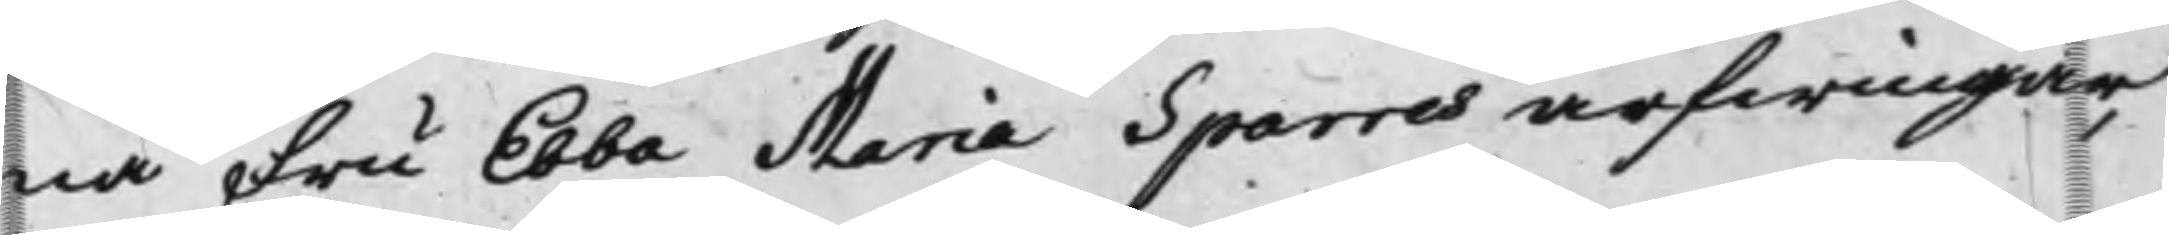na Fru Ebba Maria Sparres arfwingar,
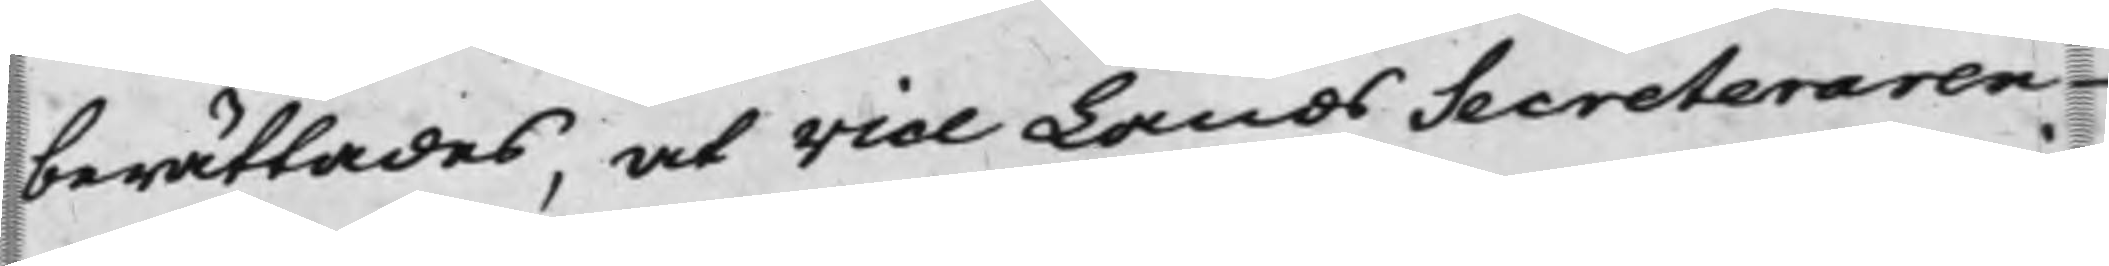berättades, at Vice LandsSecreteraren
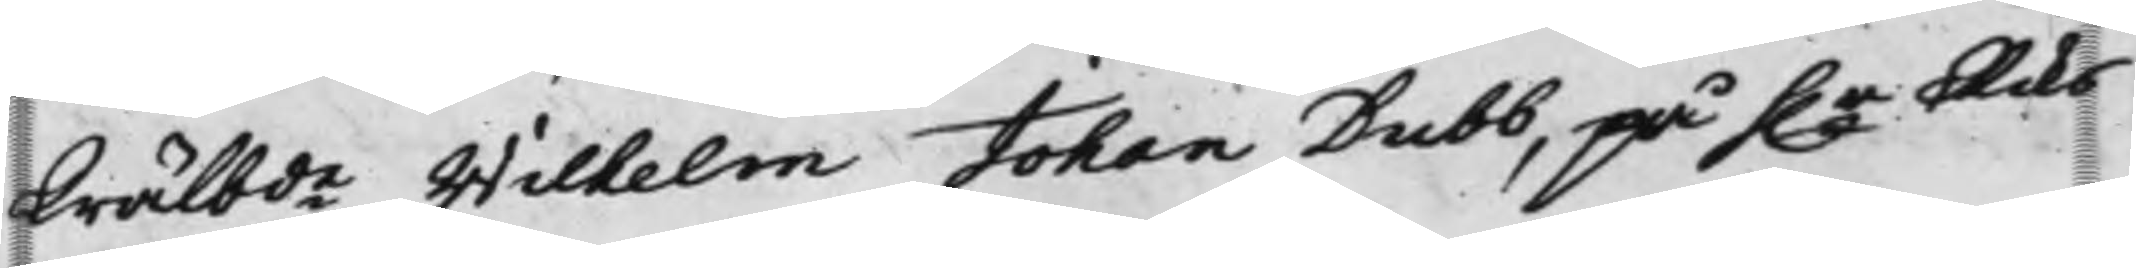Wälbde Wilhelm Johan Dubb, på h.r Riks¬
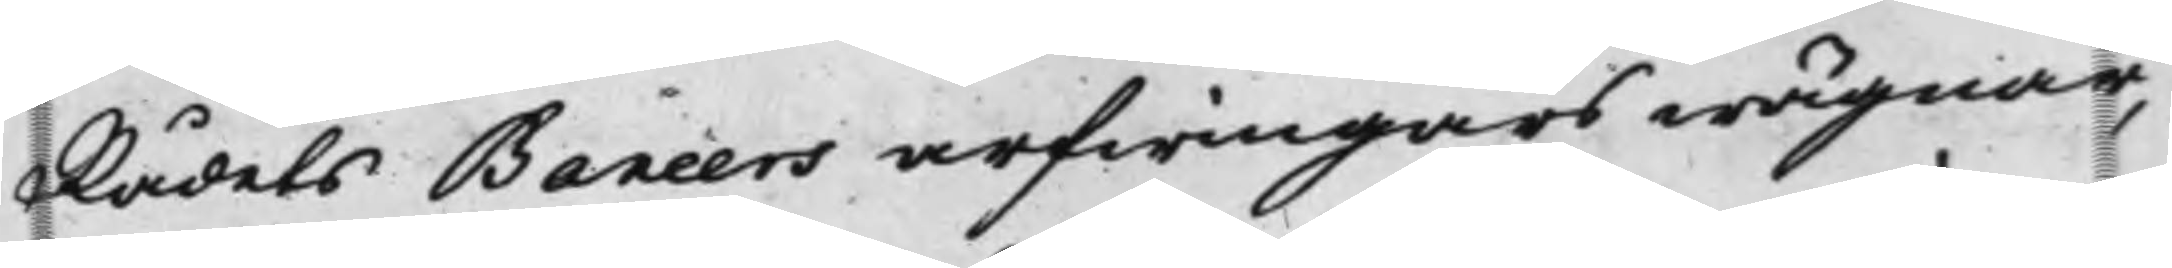Rådets Baneers arfwingars wägnar,
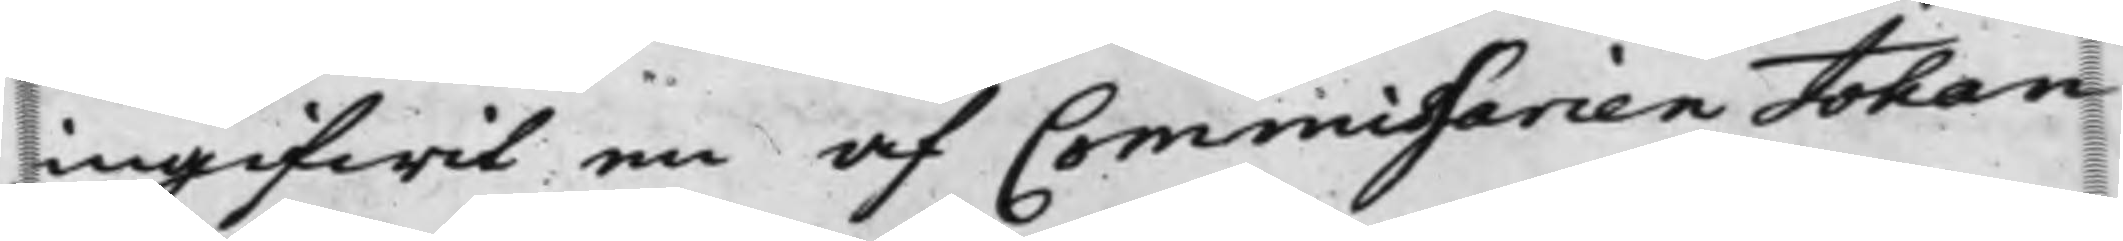ingifwit en af Commissarien Johan
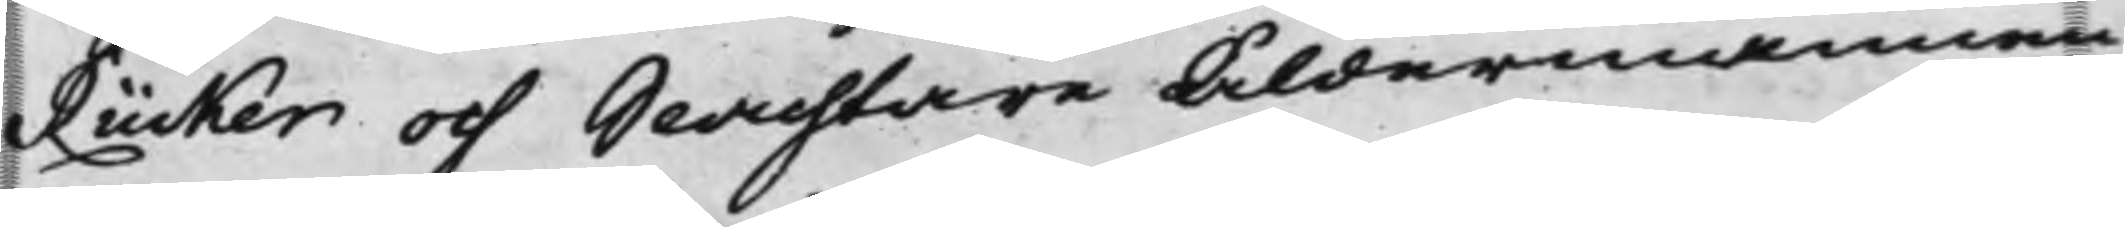Rücker och SlachtareÅldermannen
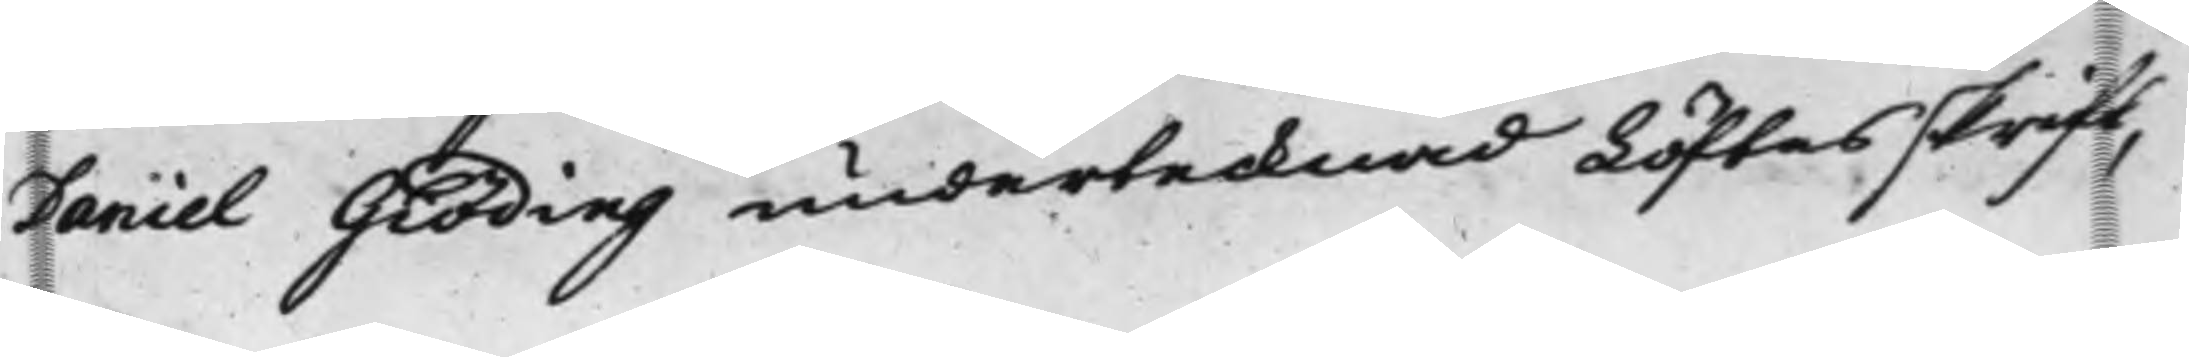Daniel Giöding undertecknad Löftesskrift,
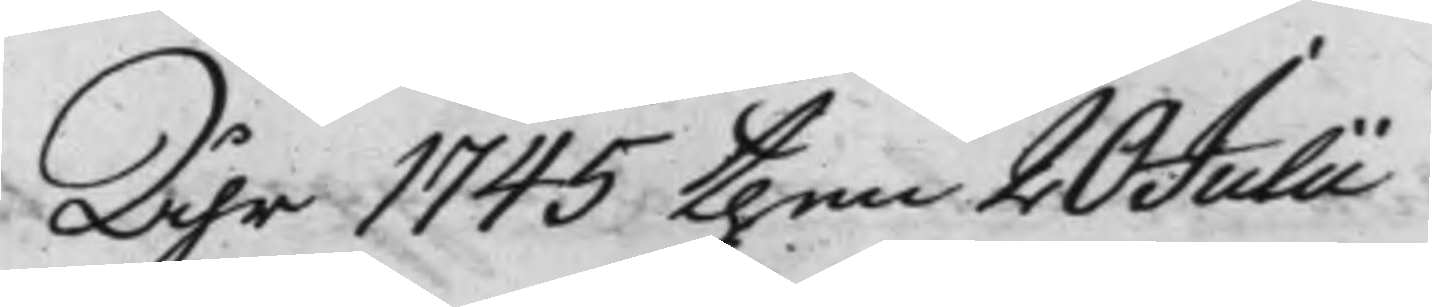Åhr 1745 then 20 Julii
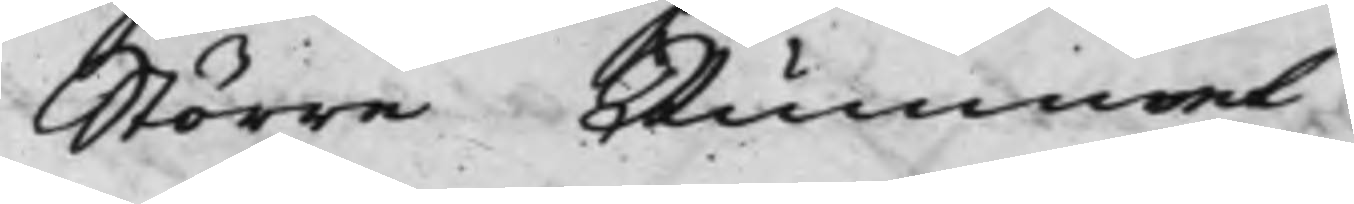Större Rummet
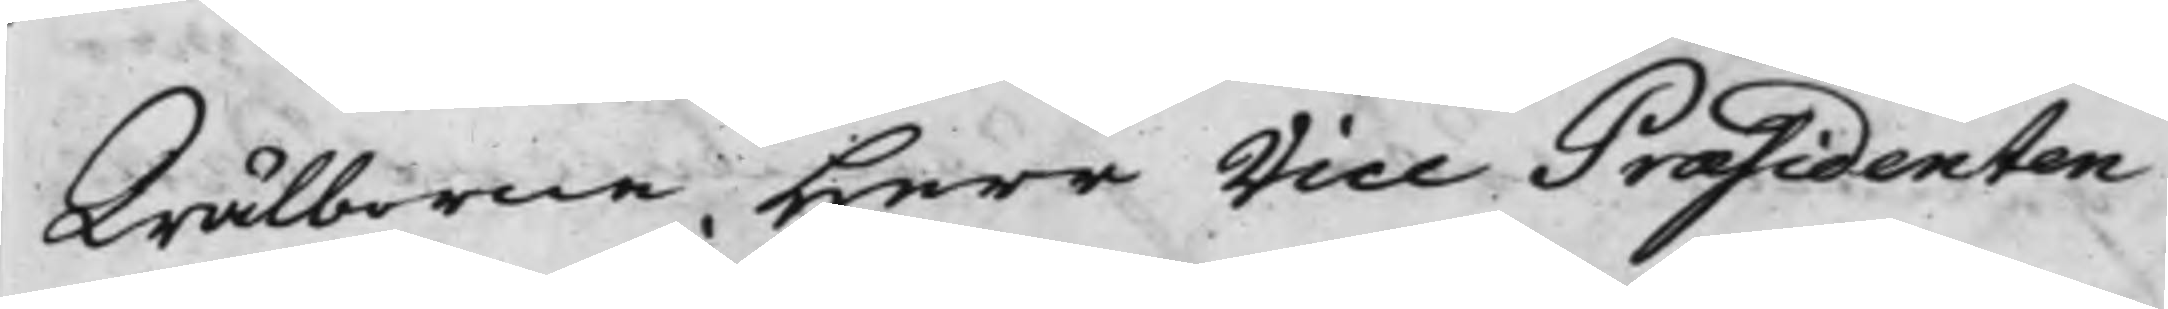Wälborne Herr Vice Præsidenten
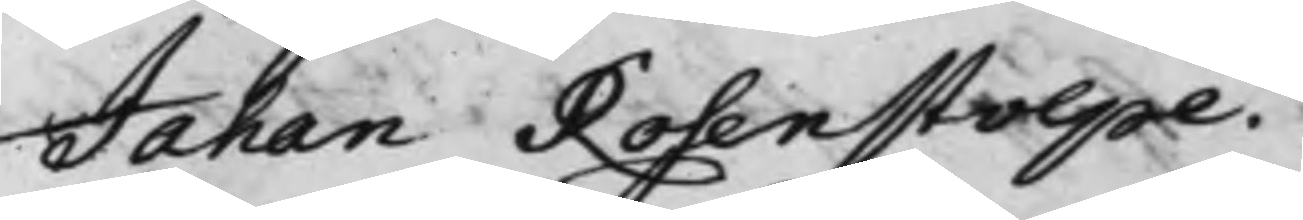Johan Rosenstolpe.
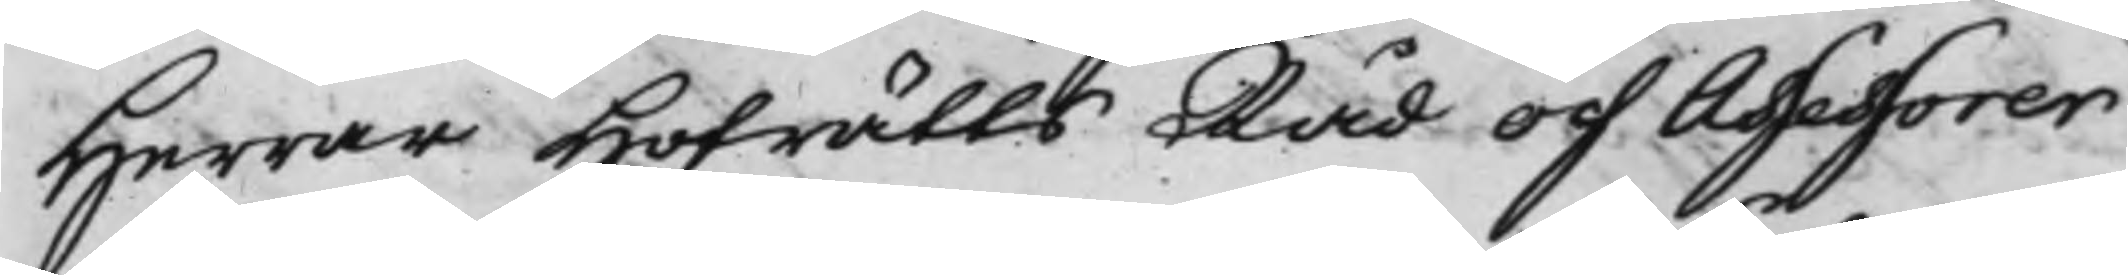Herrar Hofrätts Råd och Assessorer
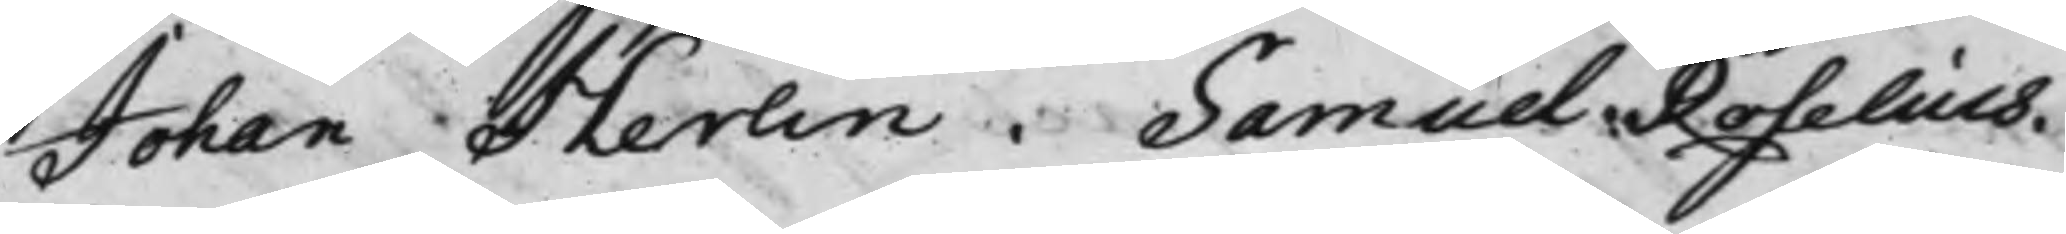Johan Herlin. Samuel Roselius.
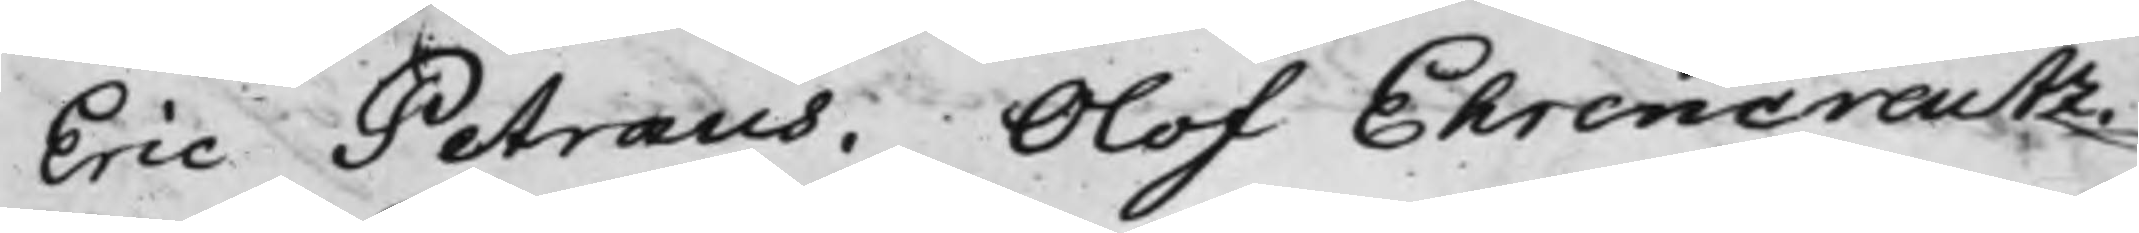Eric Petræus. Olof Ehrencreutz.
